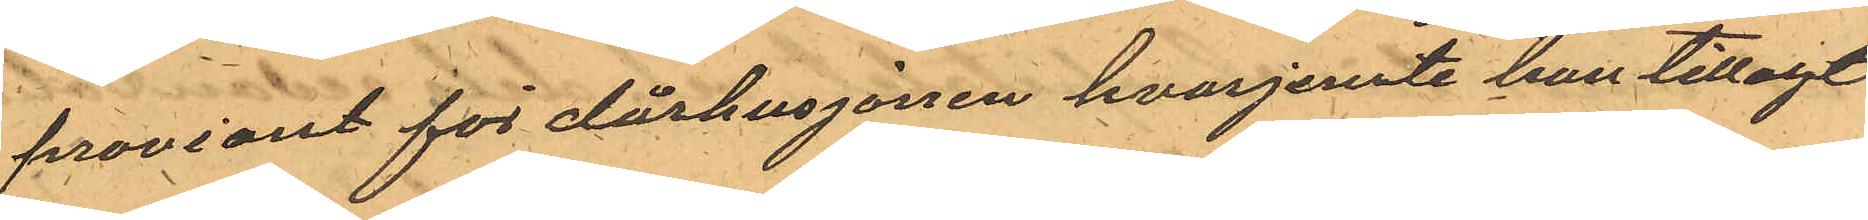proviant för dårhusjonen hvarjemte han tillagt
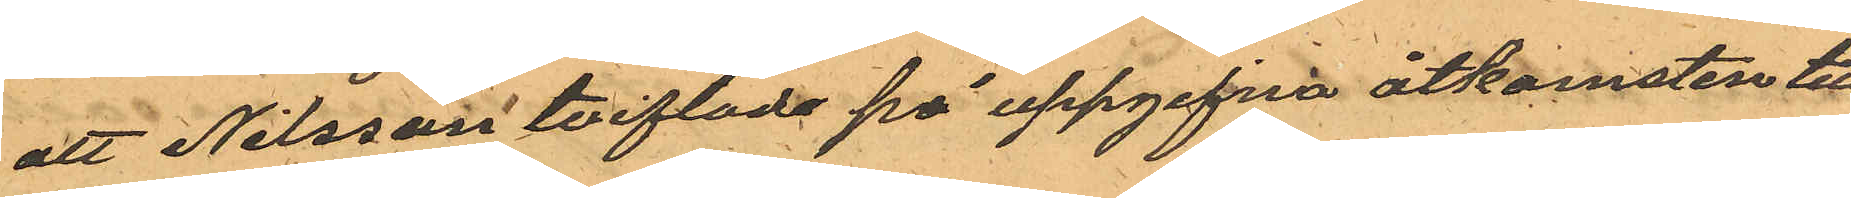att Nilsson tviflade på uppgifna åtkomsten till
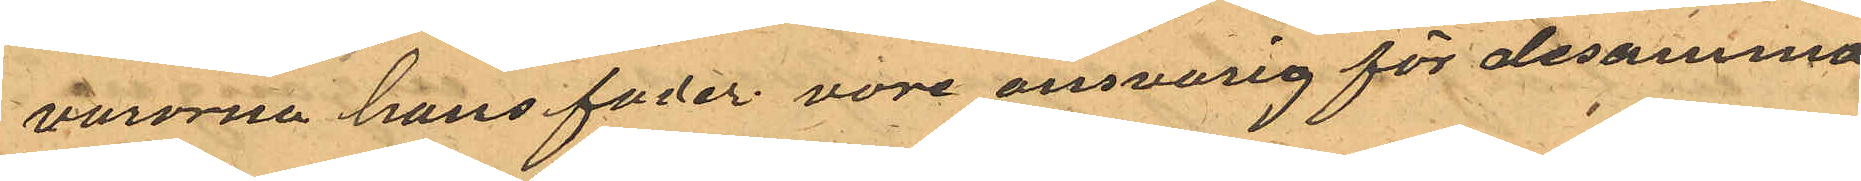vurorna hans foder vore ansvarig för desamma
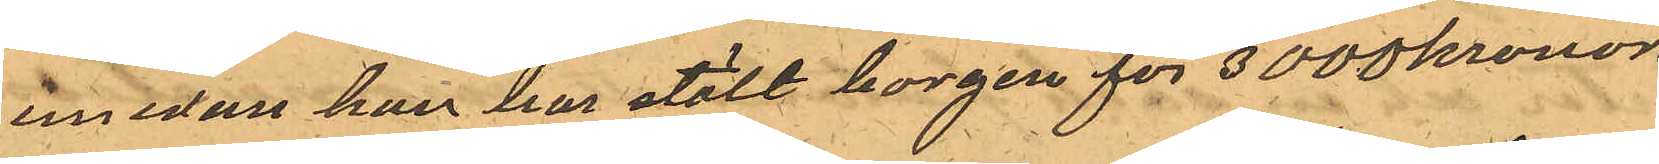emedan han har stält borgen för 3000 kronor.
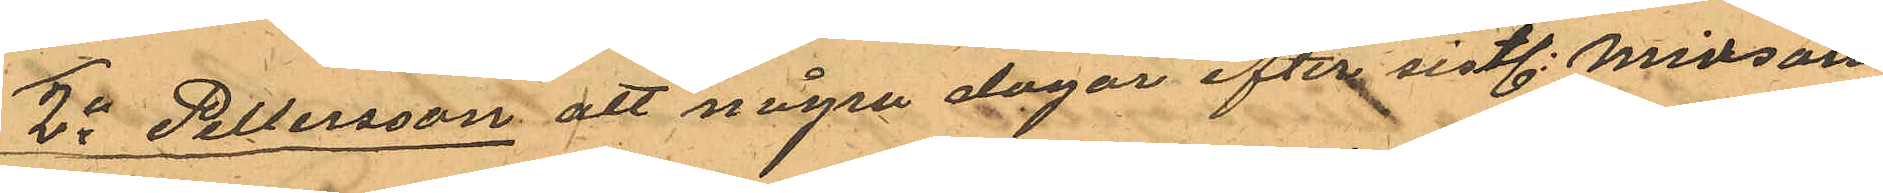2o Pettersson att några dagar efter sistl. Midsom¬
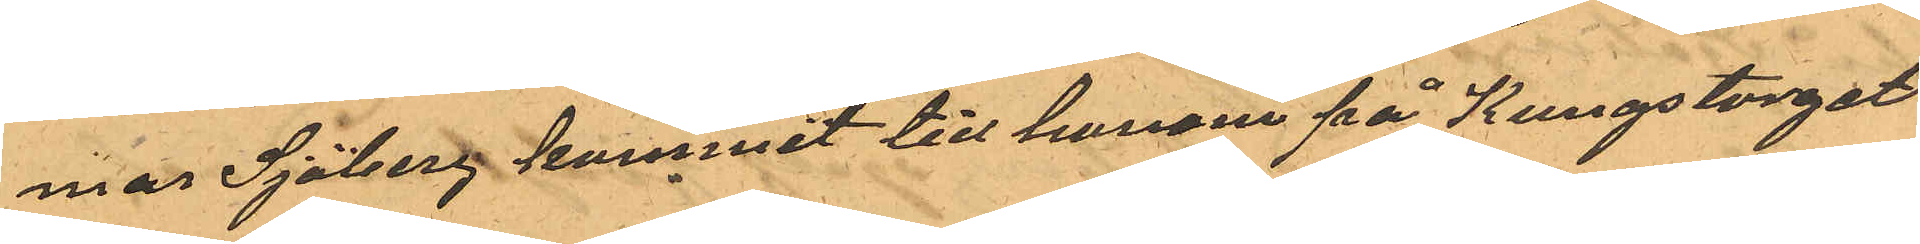mar Sjöberg kommit till honom på Kungstorget
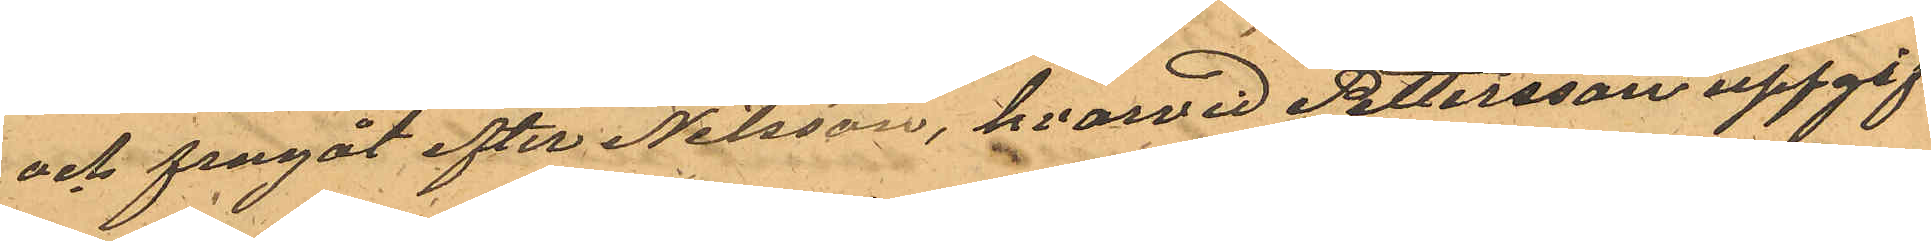och fragåt efter Nilsson, hvarvid Pettersson uppgif¬
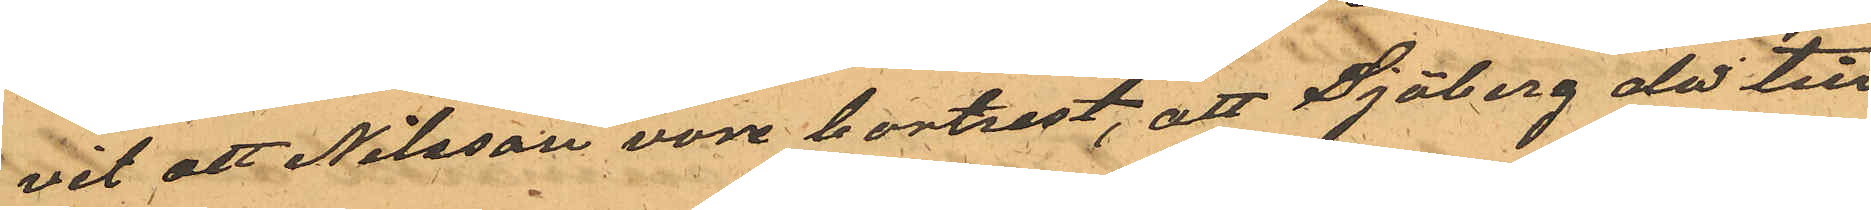vit att Nilsson vore bortrest, att Sjöberg de till
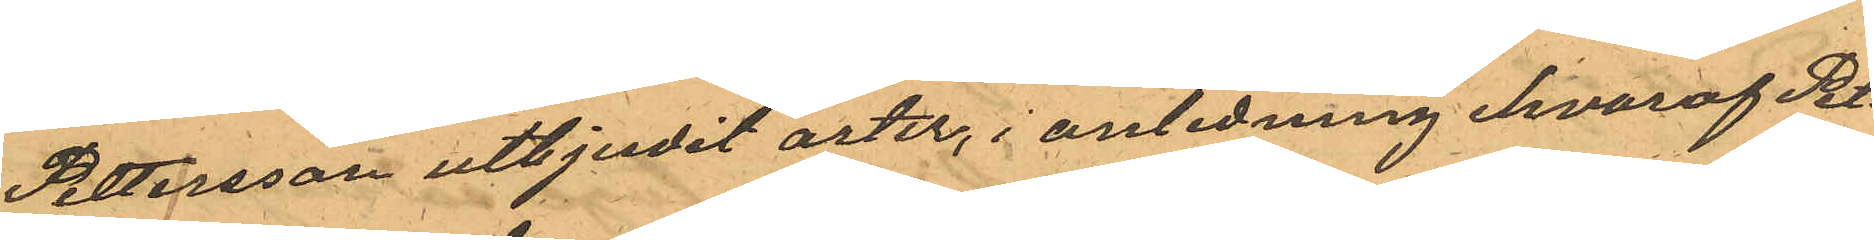Pettersson utbjudit ärter, i anledning hvaraf Pet¬
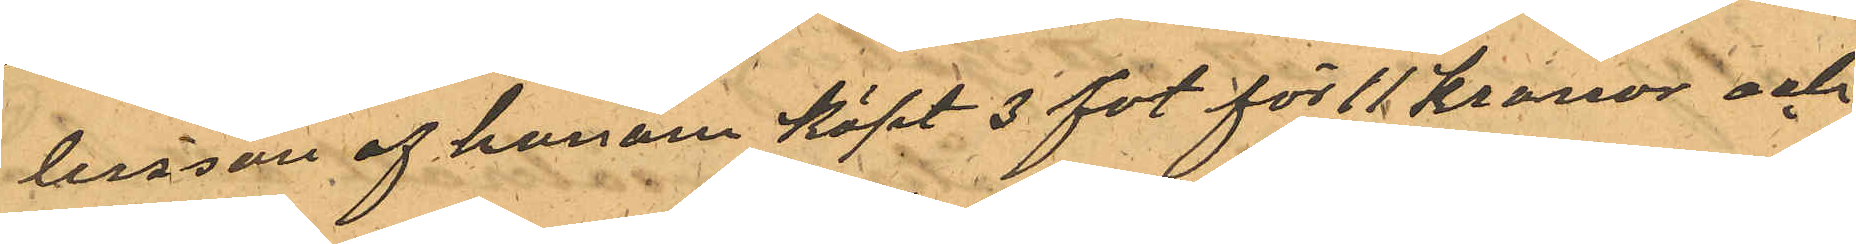tersson af honom köpt 3 fot för 11 kronor och
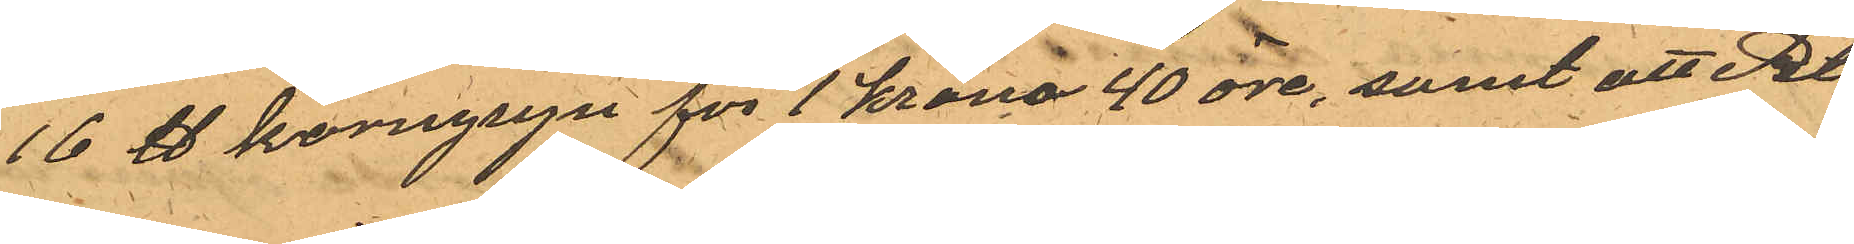16 ℔ korngryn för 1 krona 40 öre, samt att Pet¬
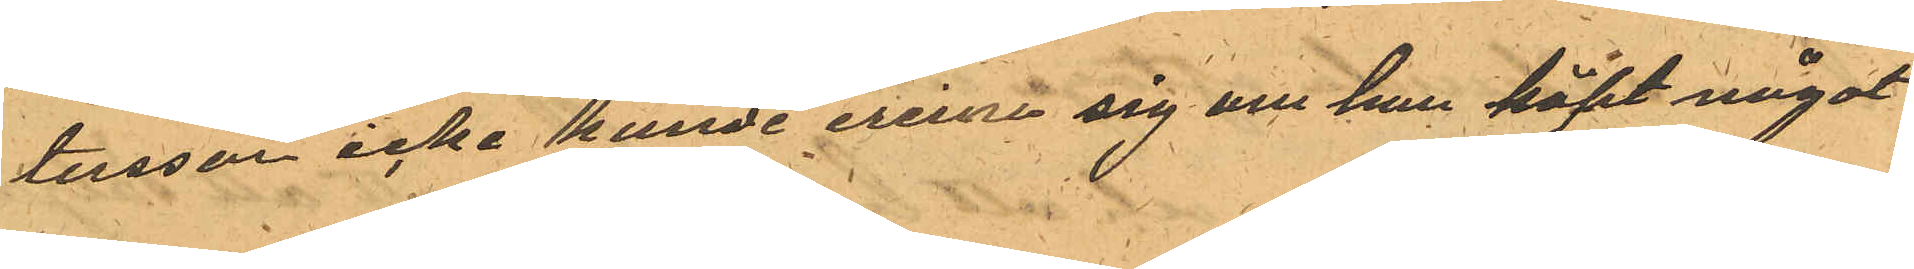tersson icke kunde erinra sig om han köpt något
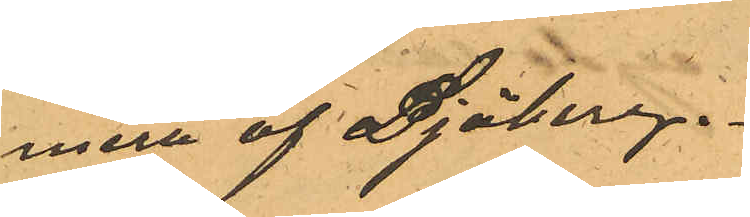mera af Sjöberg.
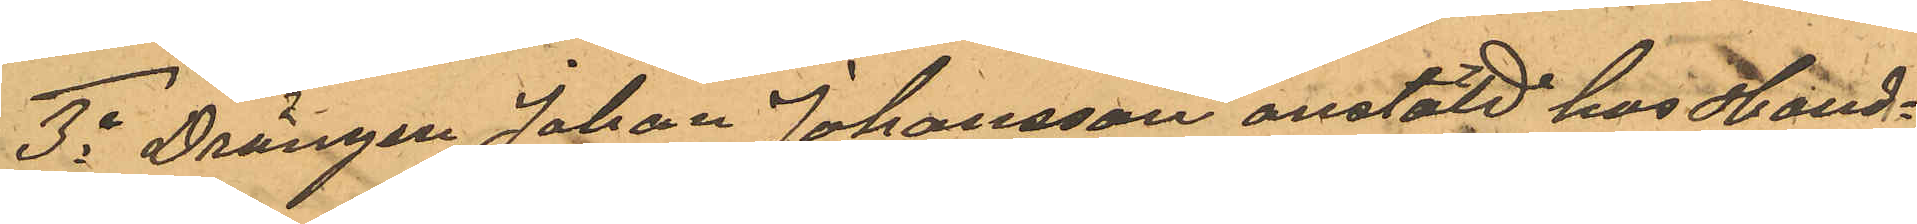3o Drängen Johan Johansson anstäld hos Hand¬
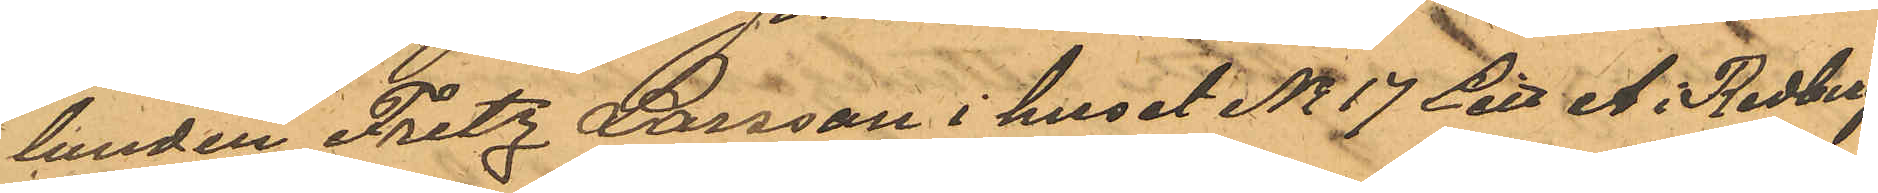landen Fritz Larsson i huset No 17 Litt A. Redbergs¬
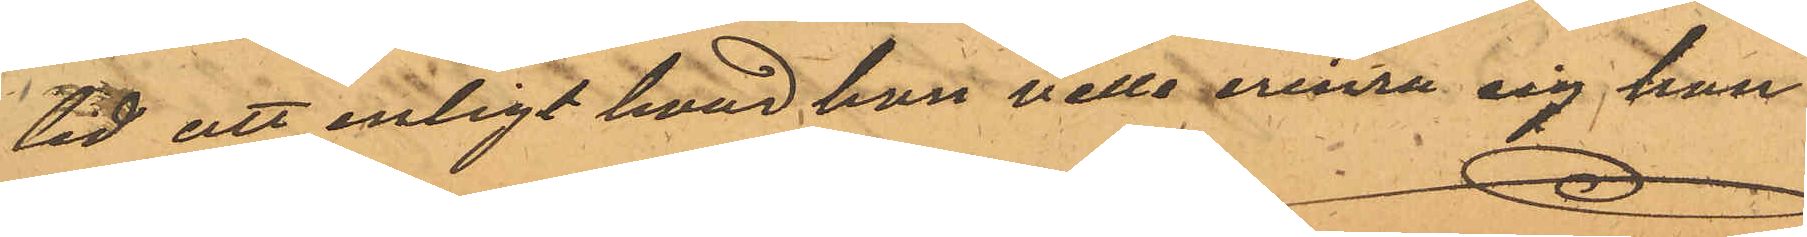tid att enligt hvad han ville erinra sig han
